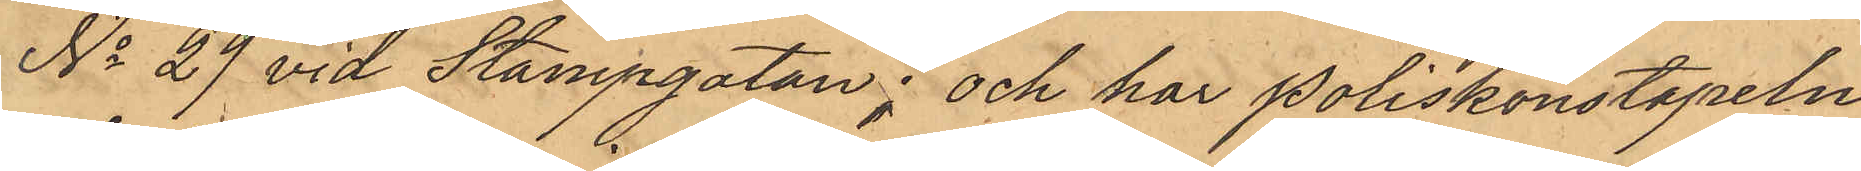No 29 vid Stampgatan; och har Poliskonstapeln
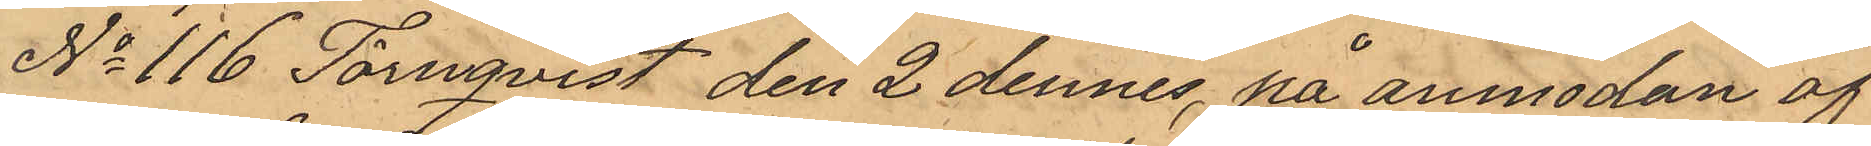No 116 Törnqvist den 2 dennes, på anmodan af
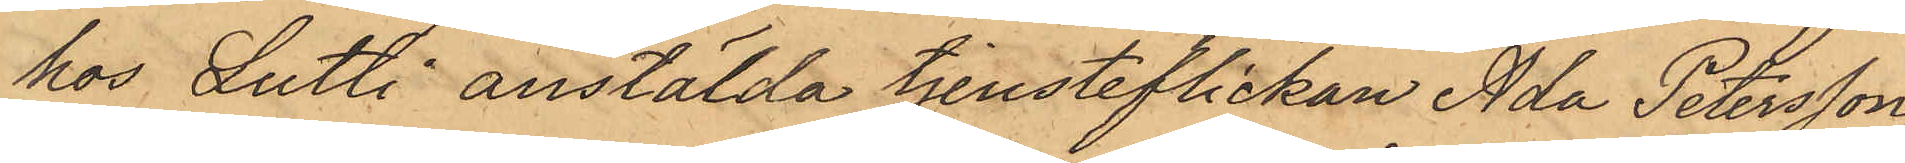hos Jutti anstälda tjensteflickan Ada Petersson,
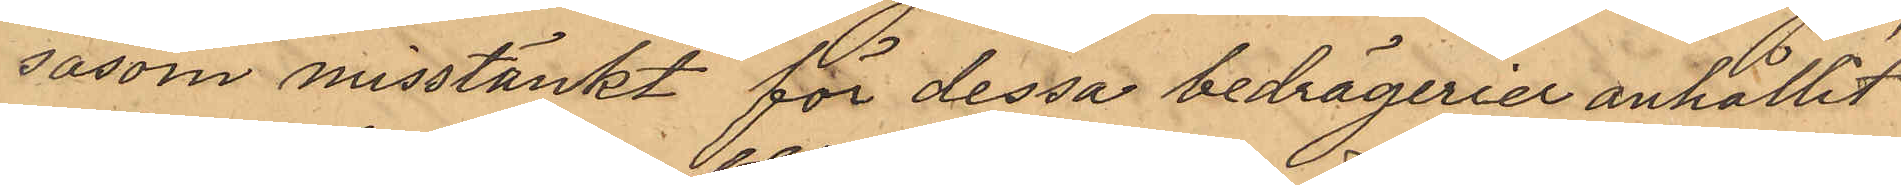såsom misstänkt för dessa bedrägerier anhållit
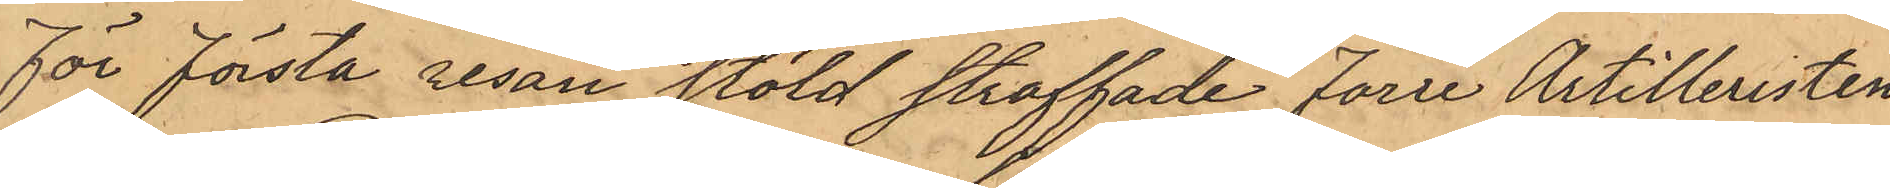för första resan stöld straffade Förre Artilleristen
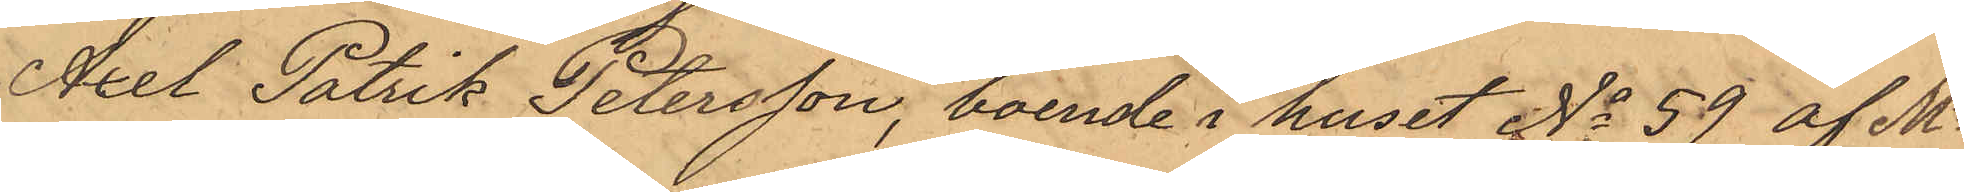Axel Patrik Petersson, boende i huset No 59 af Ms
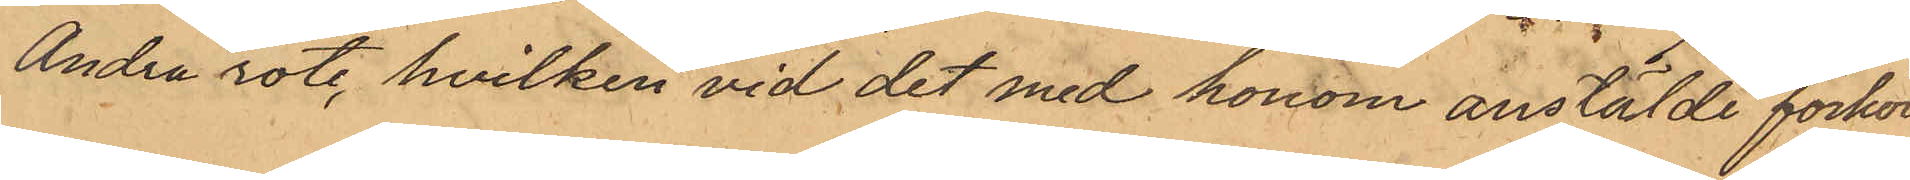Andra rote, hvilken vid det med honom anstälde förhör
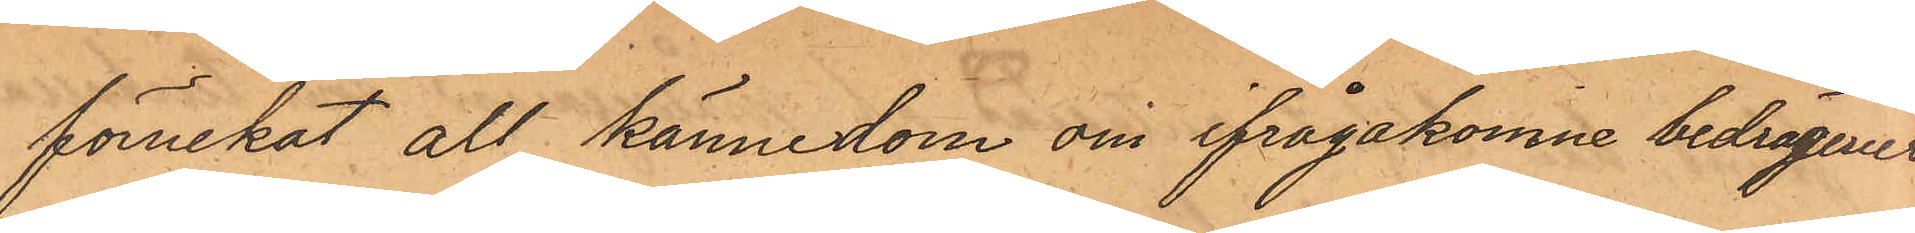förnekat all kännedom om ifrågakomne bedrägerier
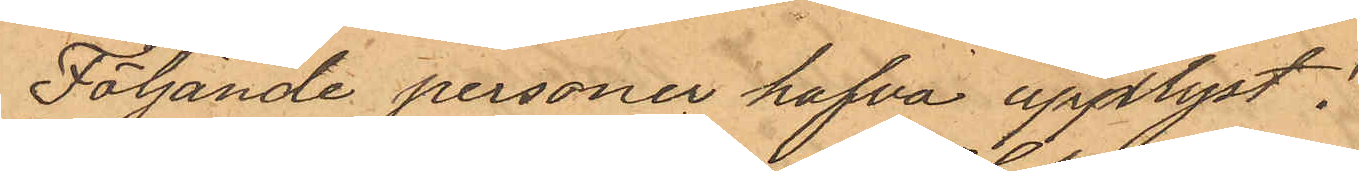Följande personer hafva upplyst:
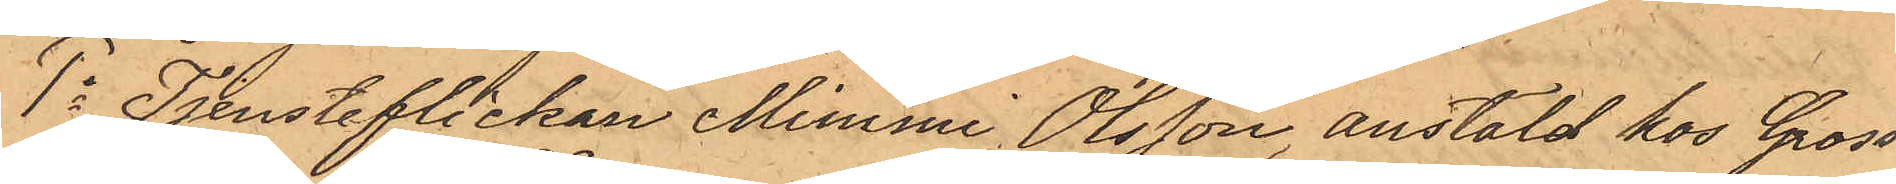1o Tjensteflickan Mimmi Olsson, anstäld hos Gross¬
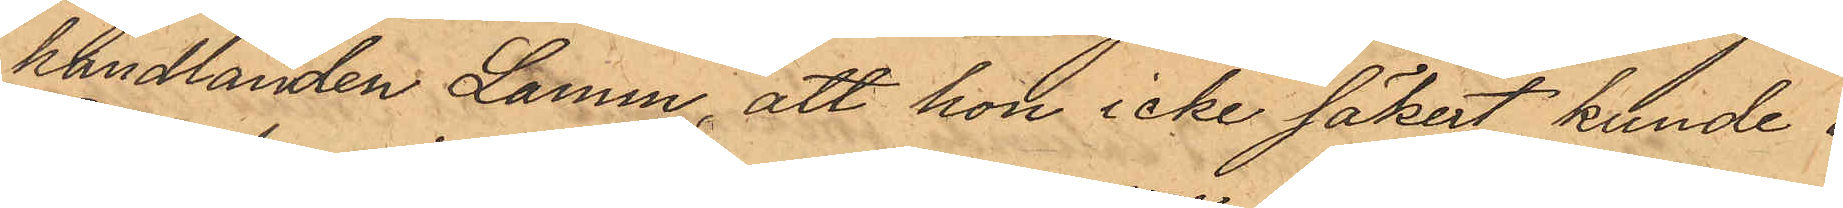handlanden Lamm, att hon icke säkert kunde i
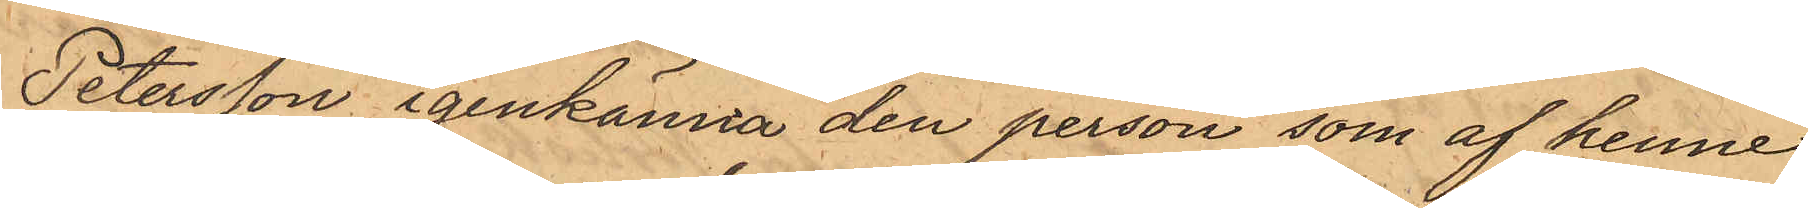Petersson igenkänna den person som af henne
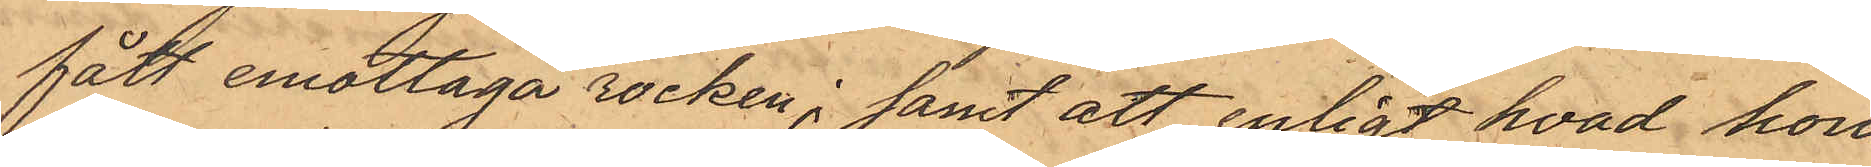fått emottaga rocken; samt att enligt hvad hon
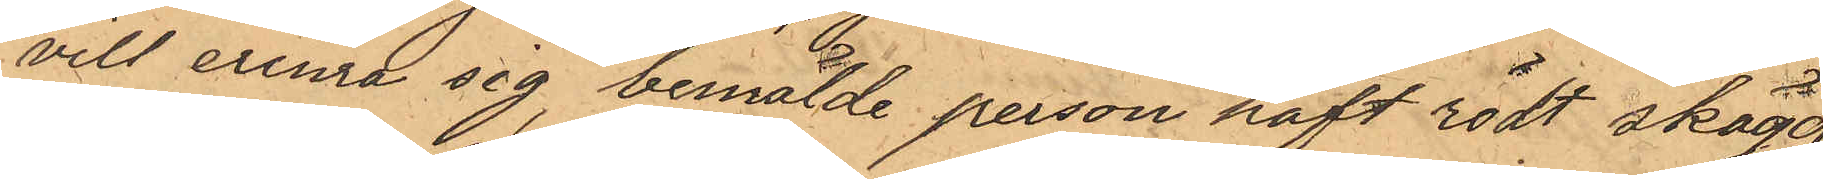vill erinra sig bemälde person haft rödt skägg
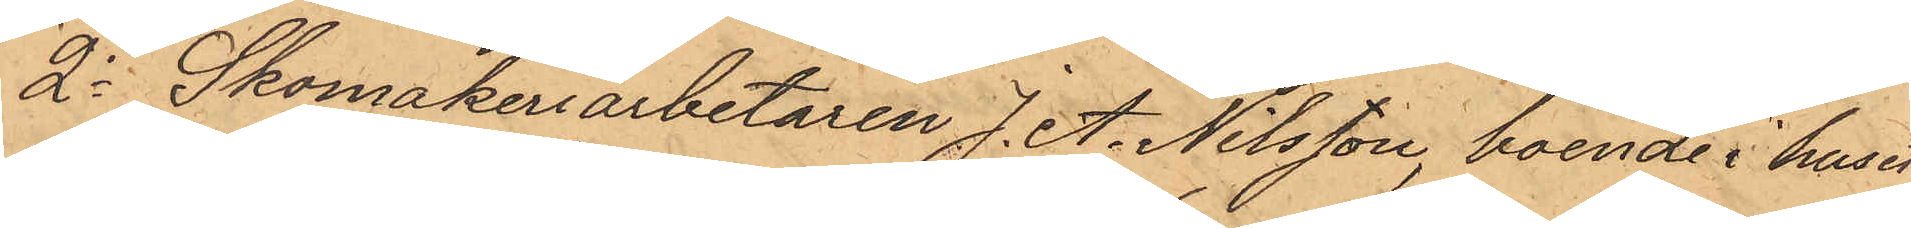2o Skomakeriarbetaren J. A. Nilsson, boende i huset
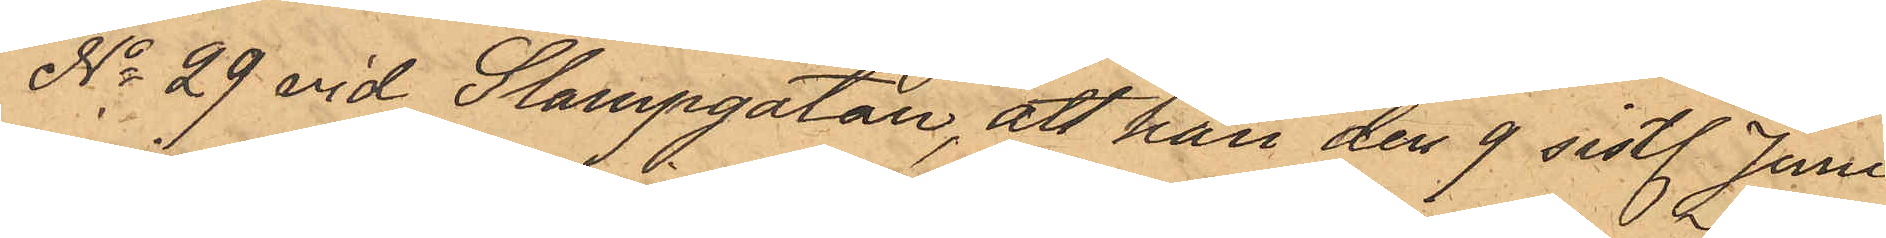No 29 vid Stampgatan, att han den 9 sistl. Juni
